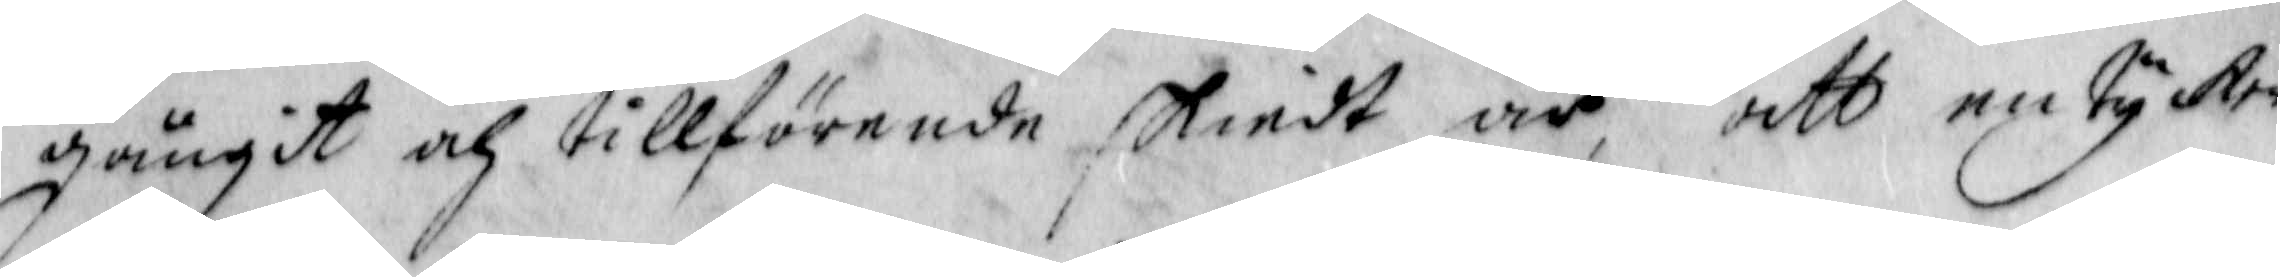gängit och tillförende skiedt är, att en tycker
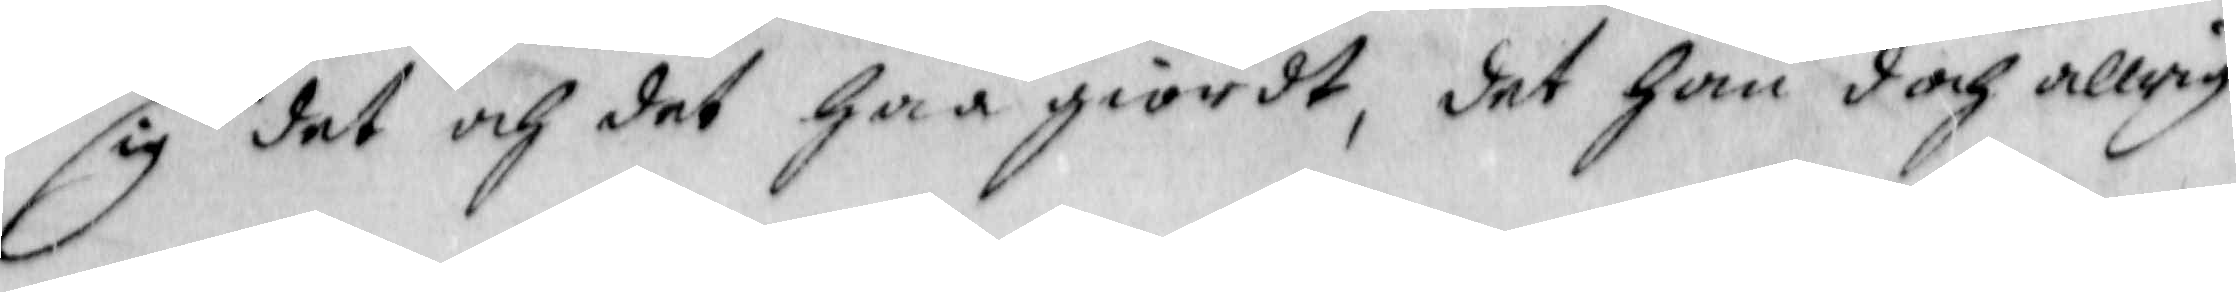sig det och det haa giordt, det han doch allrig
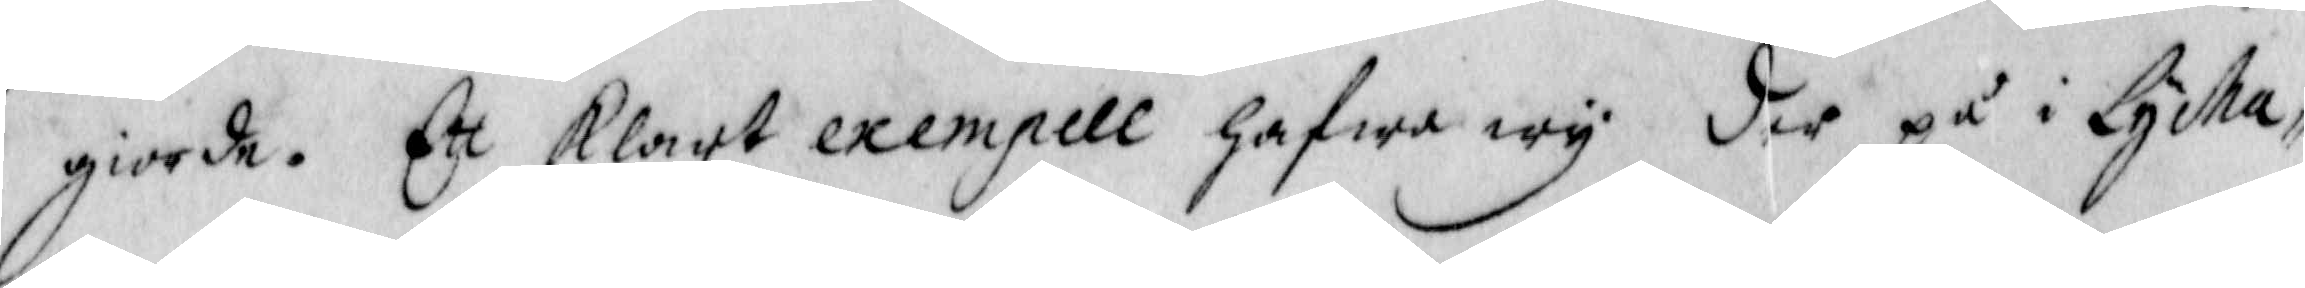giord. Ett klart exempel hafwe wy der på i Lycha¬
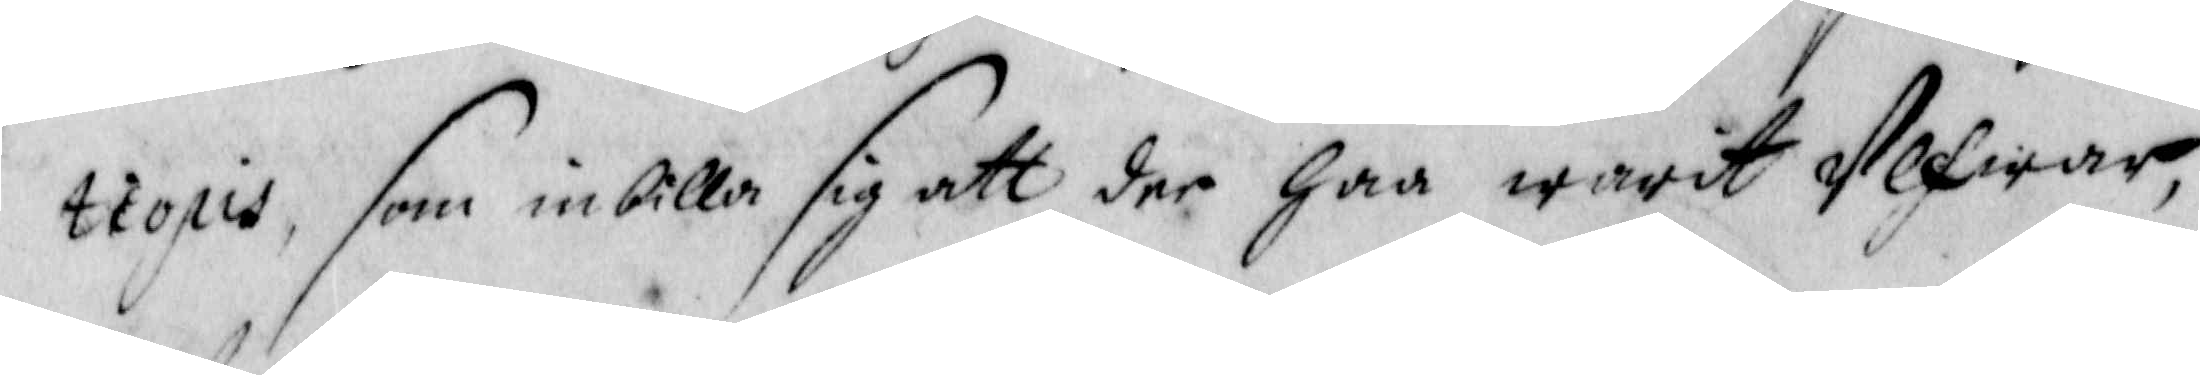tiopis, som inbilla sig att der haa warit Ulfwar,
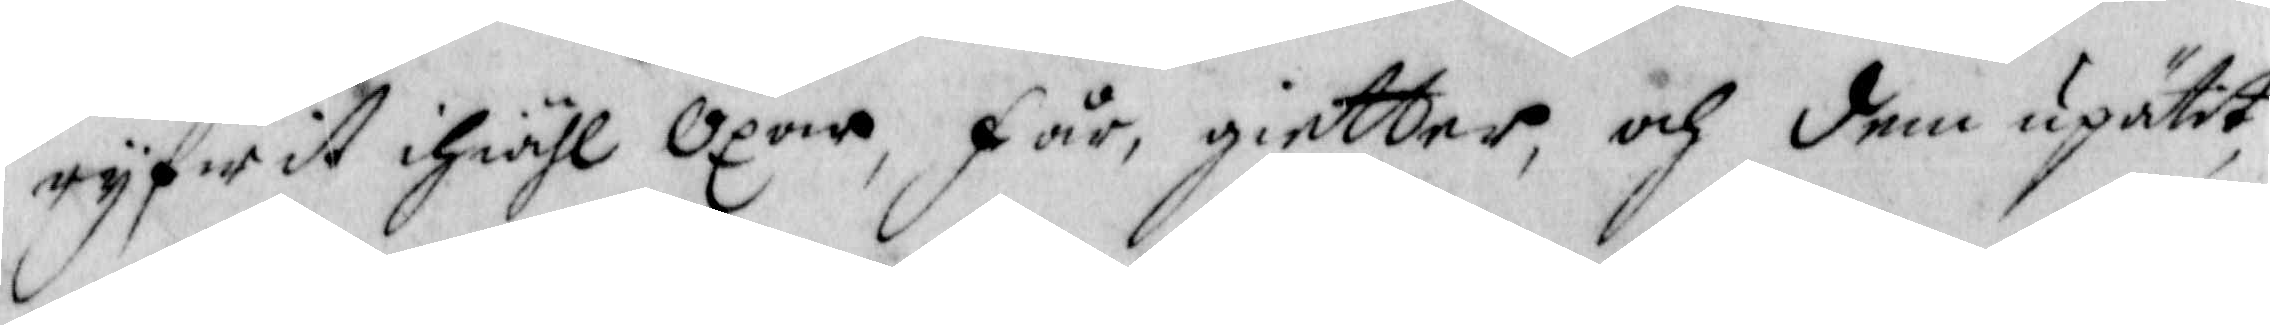ryfwit ihiähl Oxar, får, gietter och dem upätit,
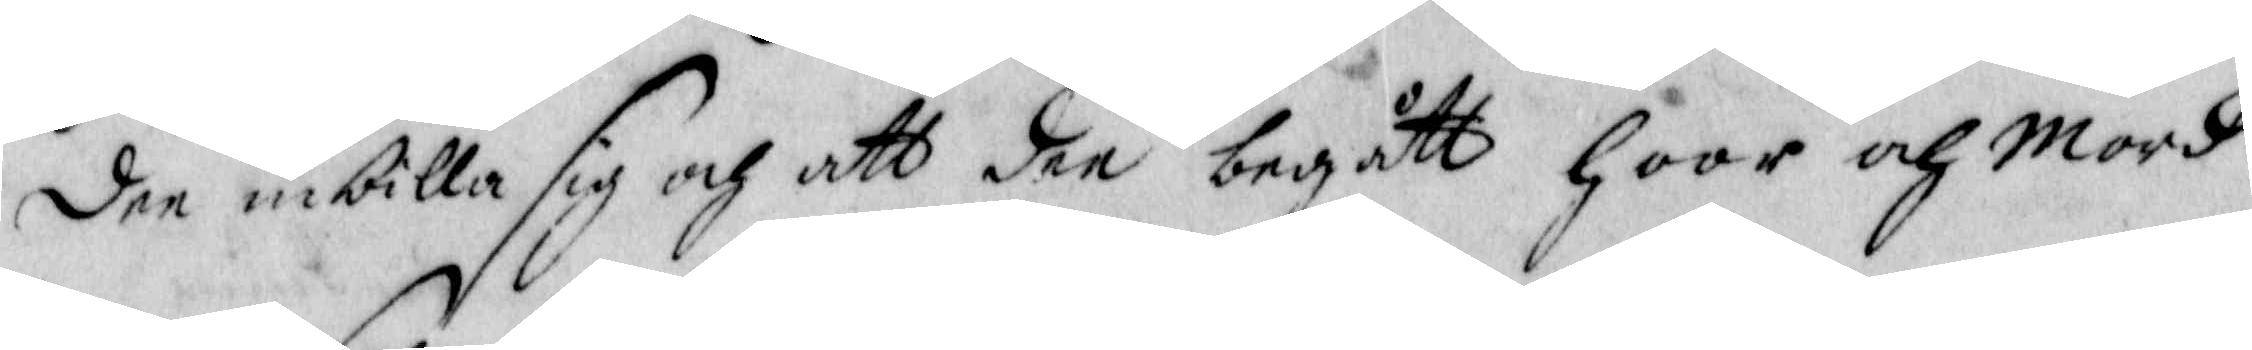dee inbilla sig och att dee begått hoor och Mord
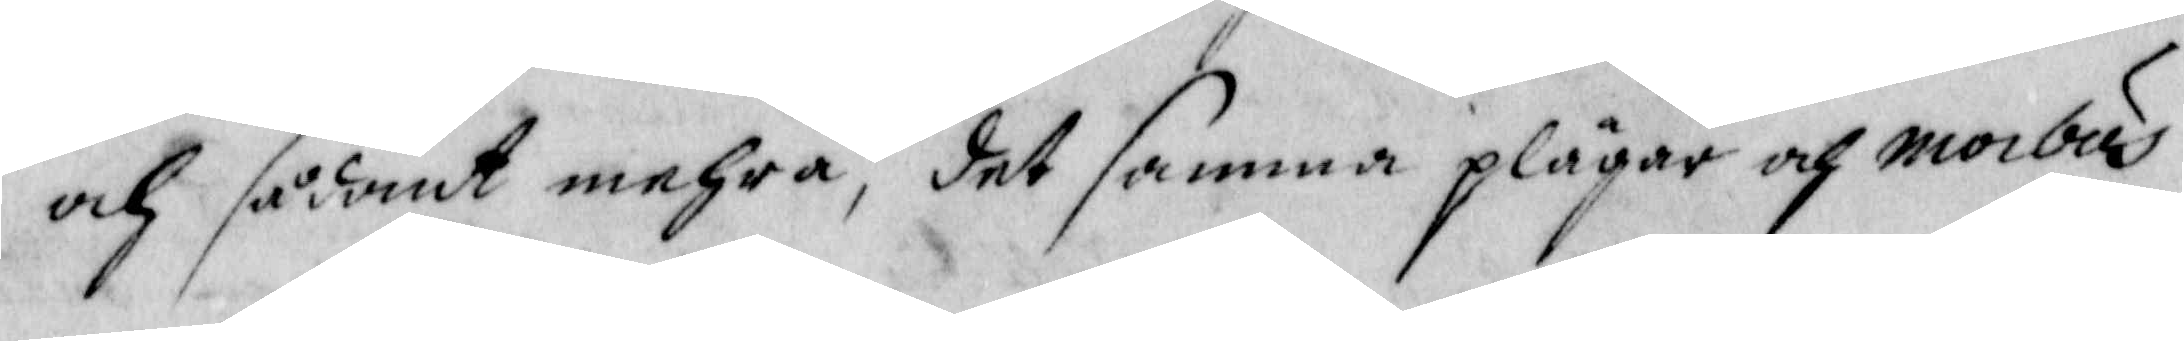och sådant mehra, det samma plägar och morbus
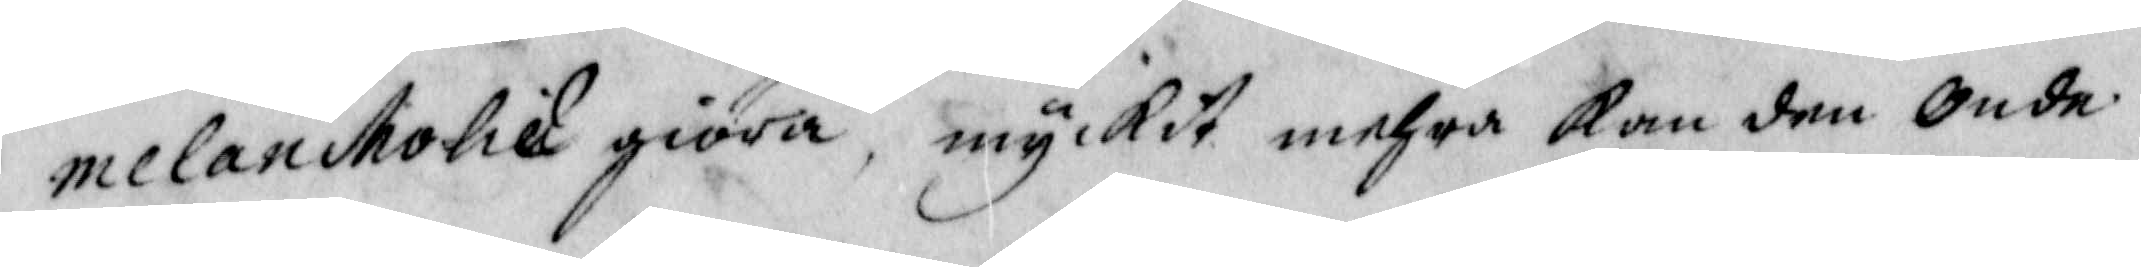melancholie giöra, myckit mehra kan dee Onde
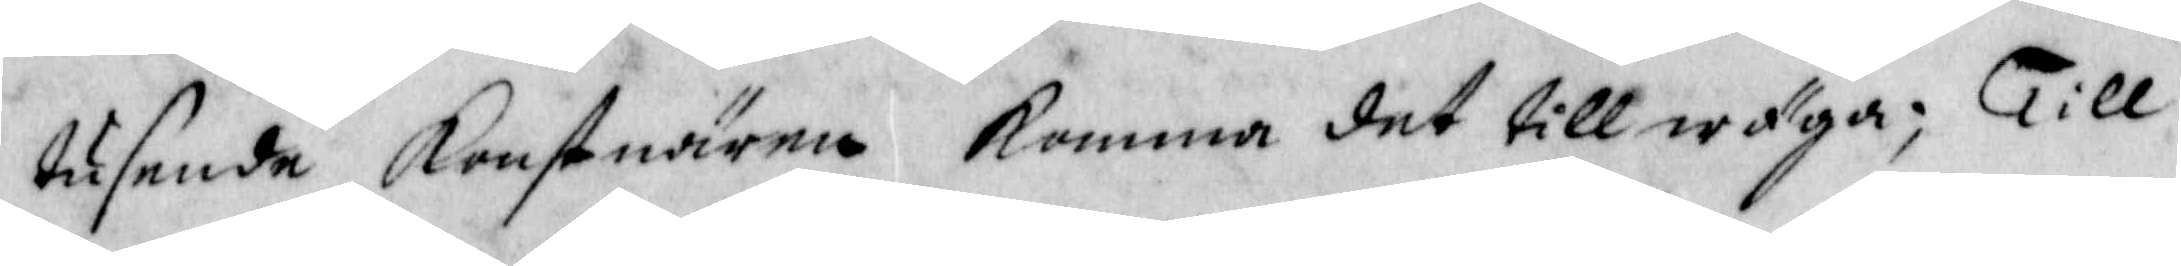tusende konstnärna komma det tillwäga; Till
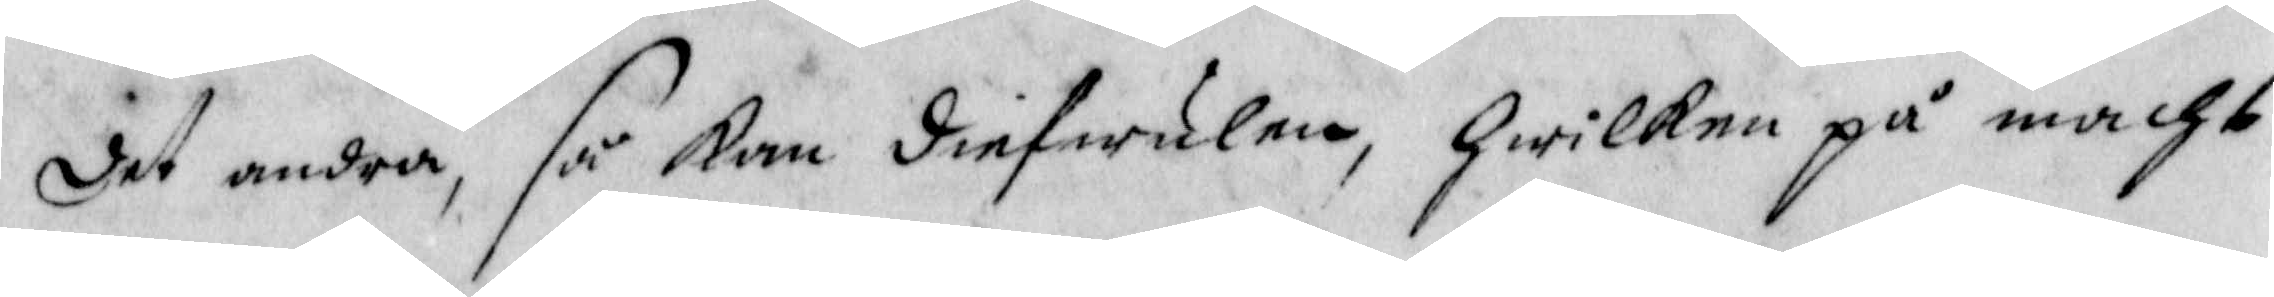det andra, så kan diefwulen, hwilken på mcht
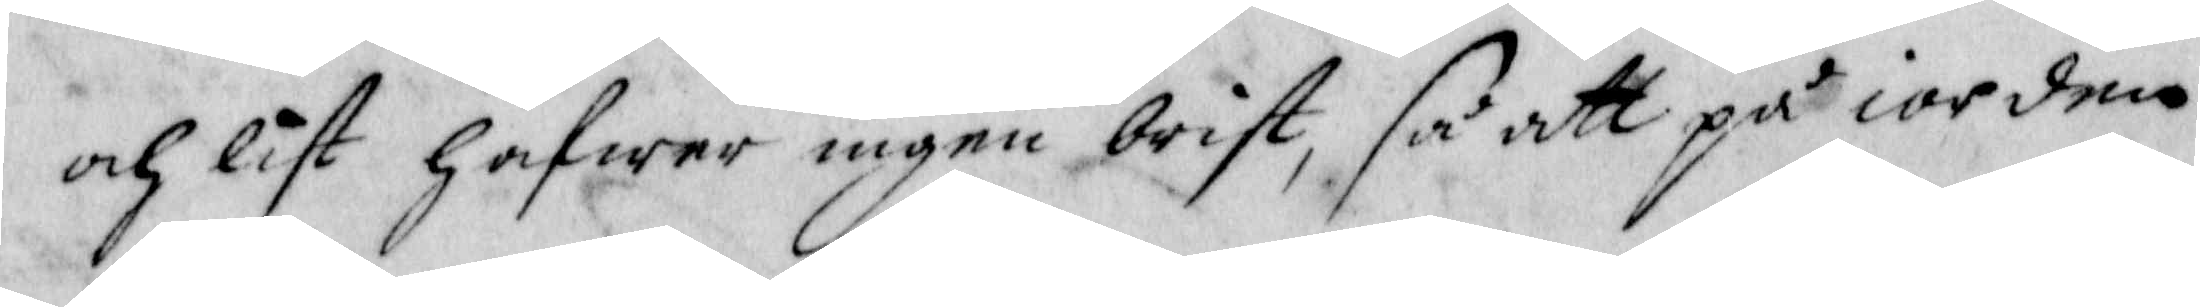och list hafwer ingen brist, så att på iorden
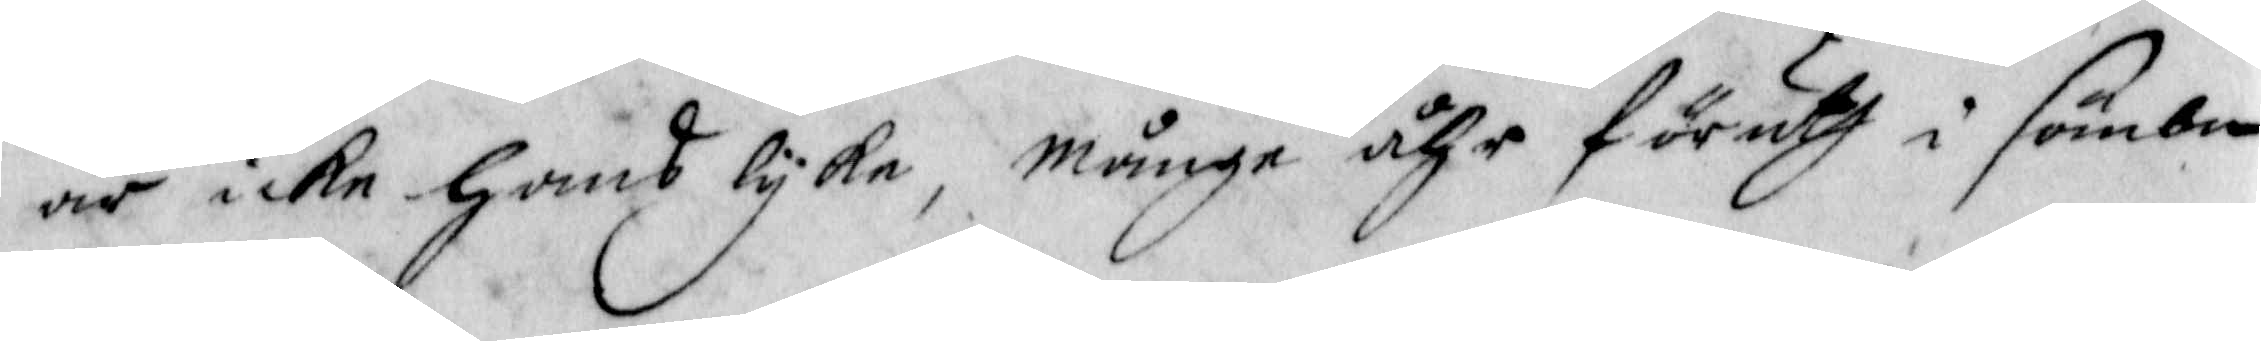är icke hans lyke, månge åhr föruth i sömbn
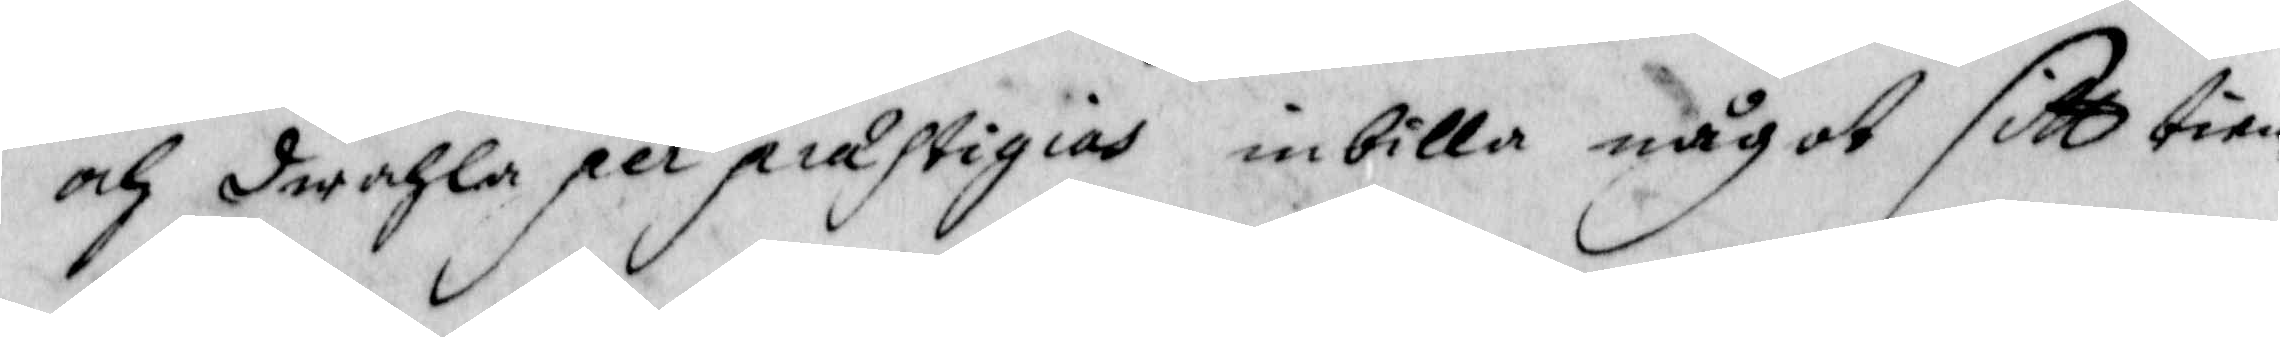och dwahla per prastigias inbilla något sitt tien¬
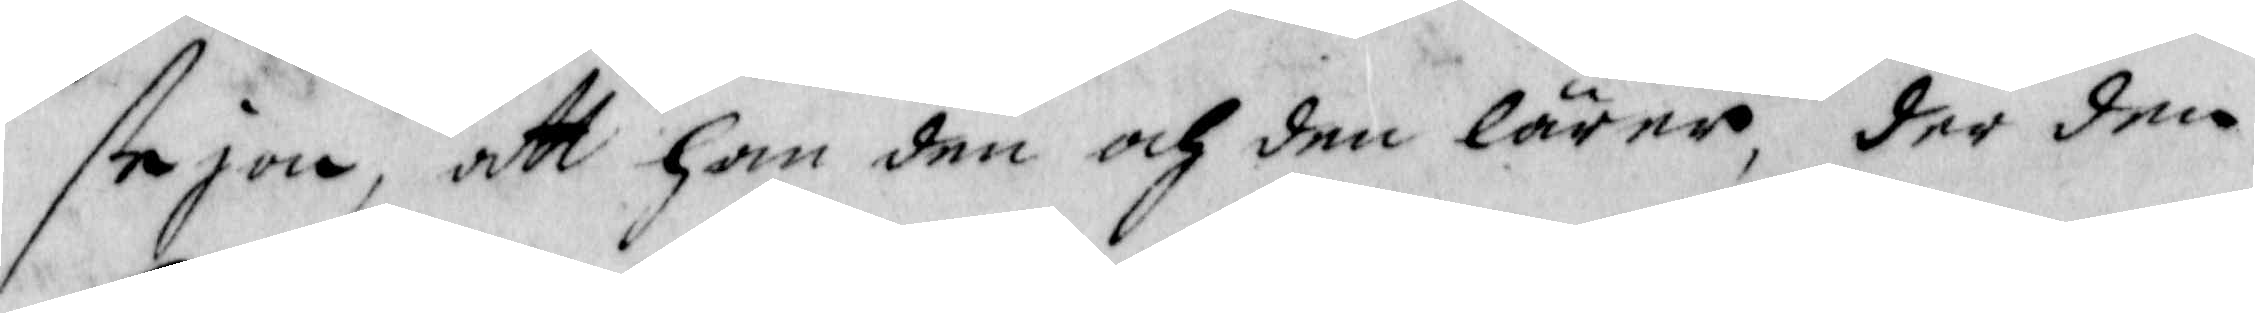stejon, att han den och den lärer, der den
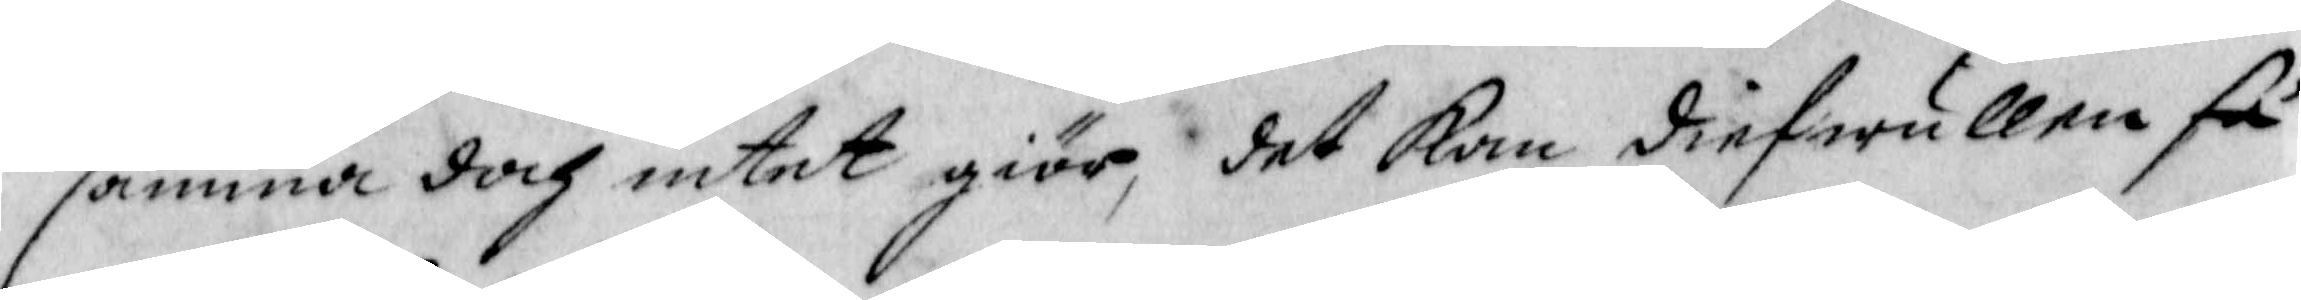samma doch intet giör, det kan diefwullen så
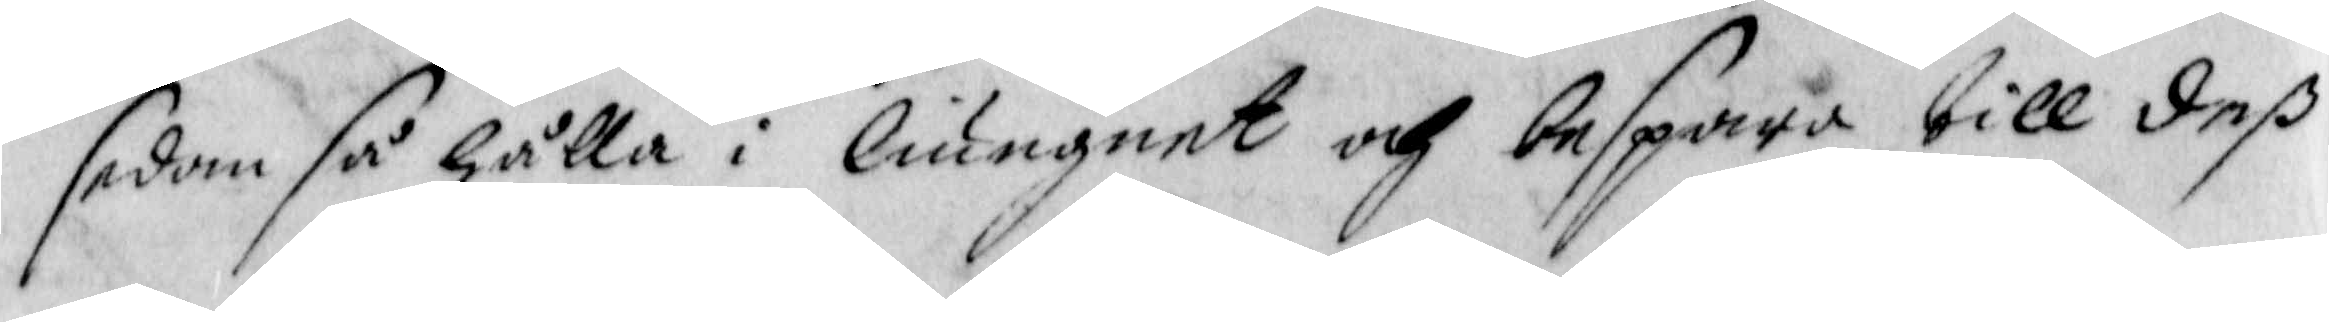sedan så gälla i liungnet och bespara till deß
